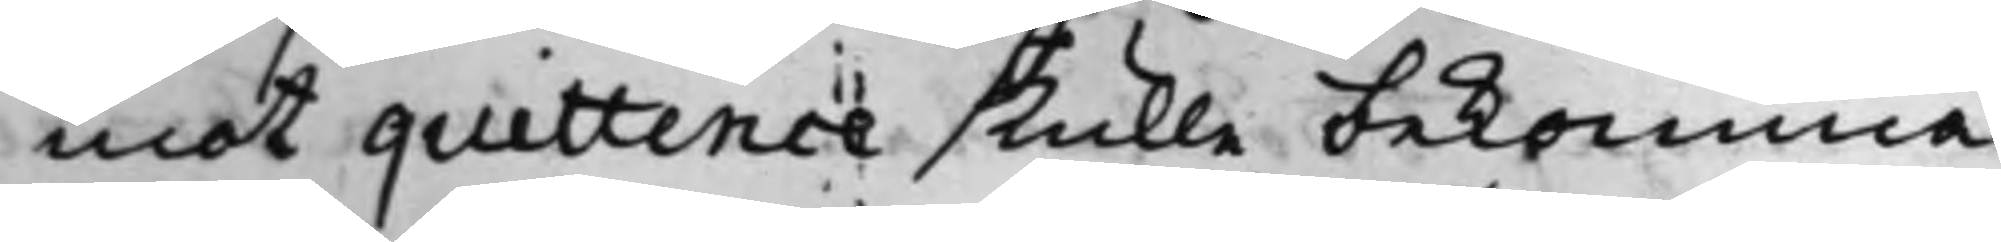mot quittence skulle bekomma.
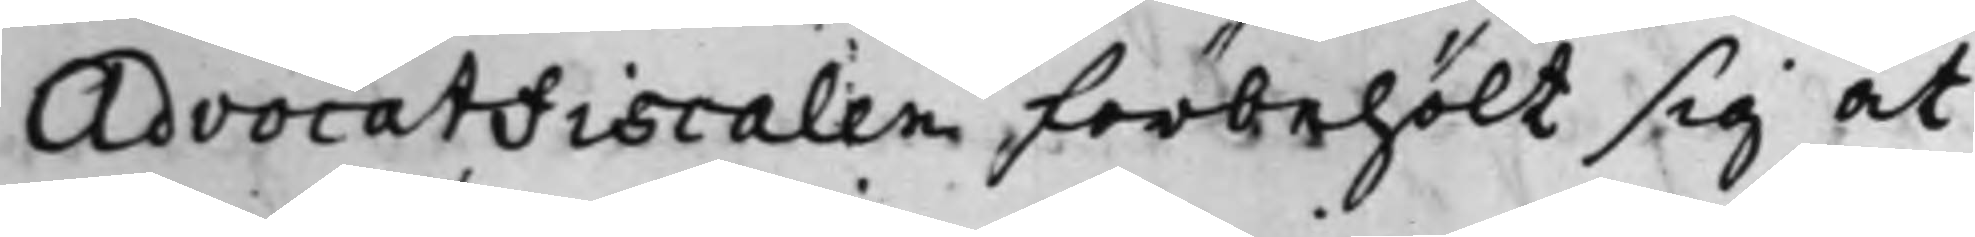AdvocatFiscalen förbehölt sig at
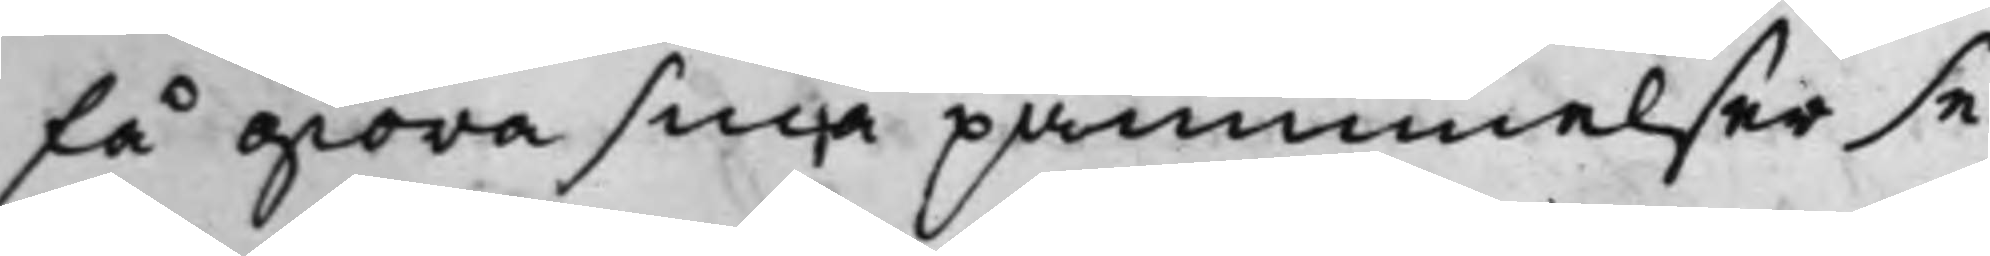få giöra sina påminnelser se¬
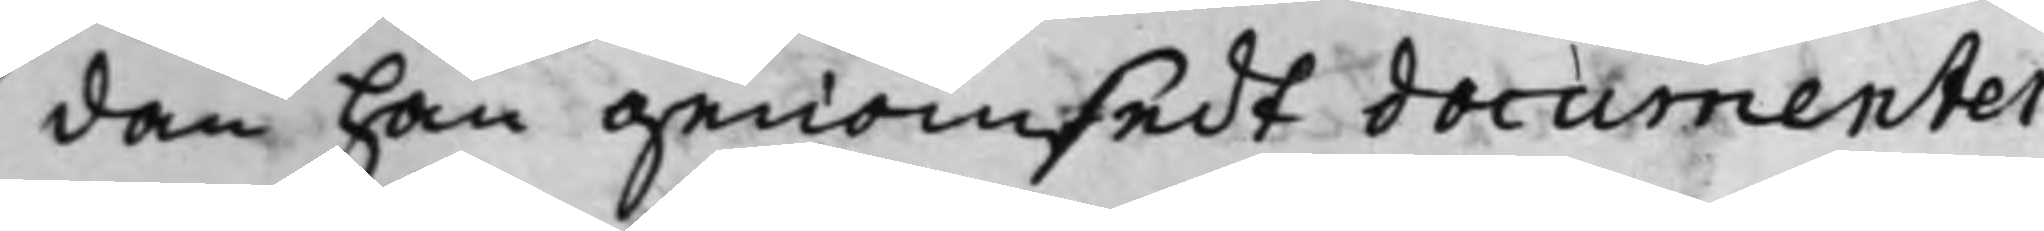dan han genomsedt documenter¬
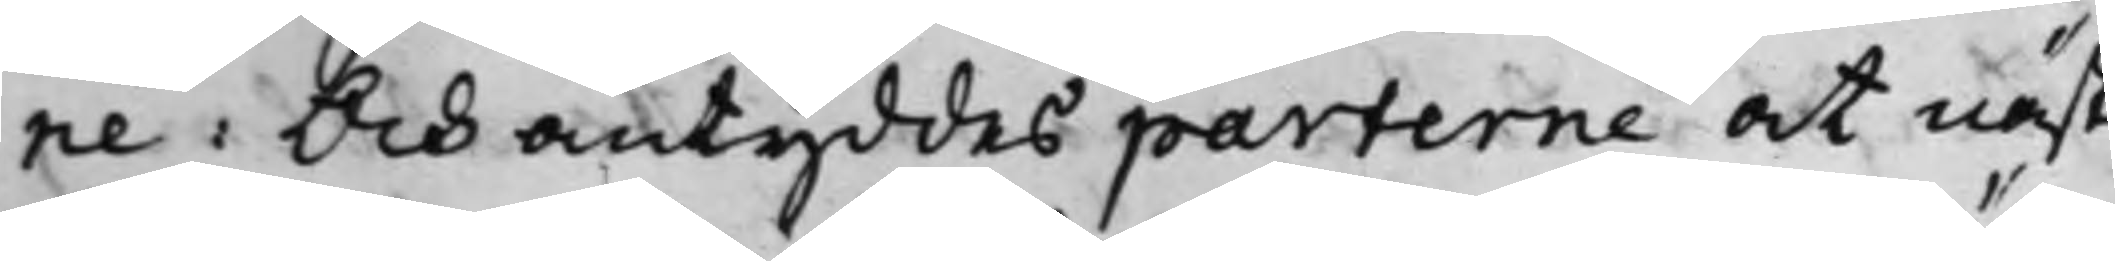ne. Och antyddes parterne at näst¬
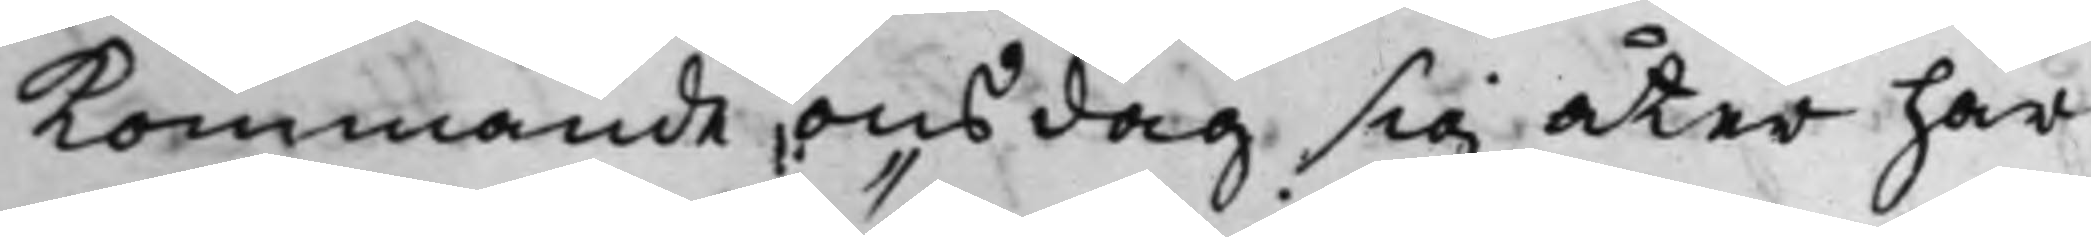kommande onsdag sig åter här
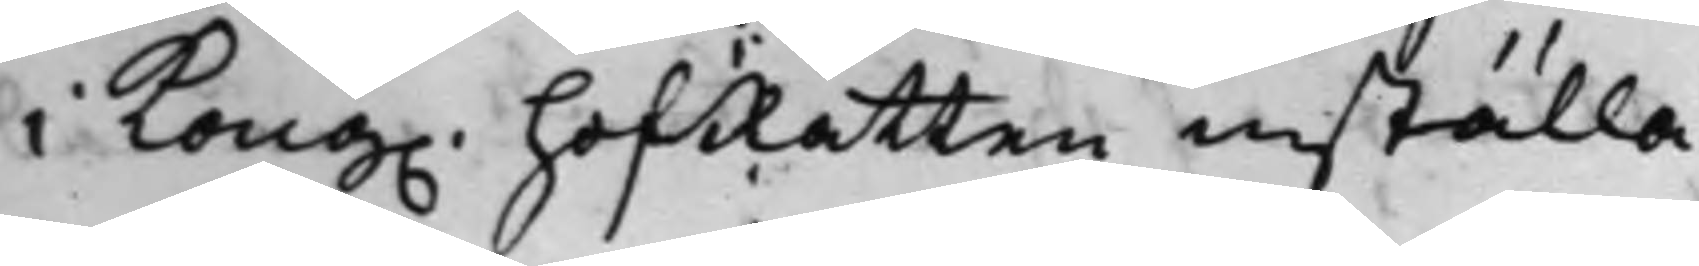i Kong. HofRätten inställa.
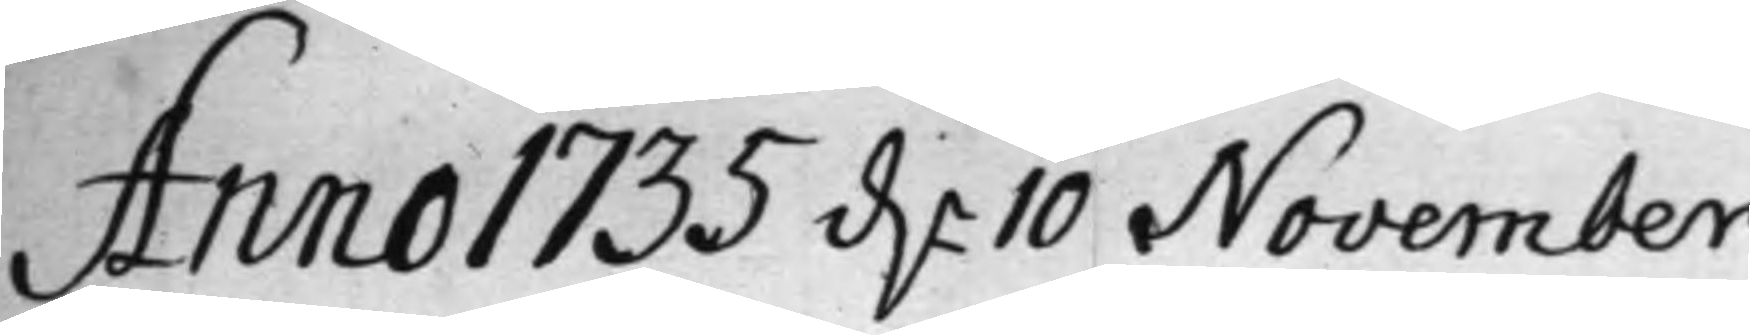Anno 1735 d.n 10 November
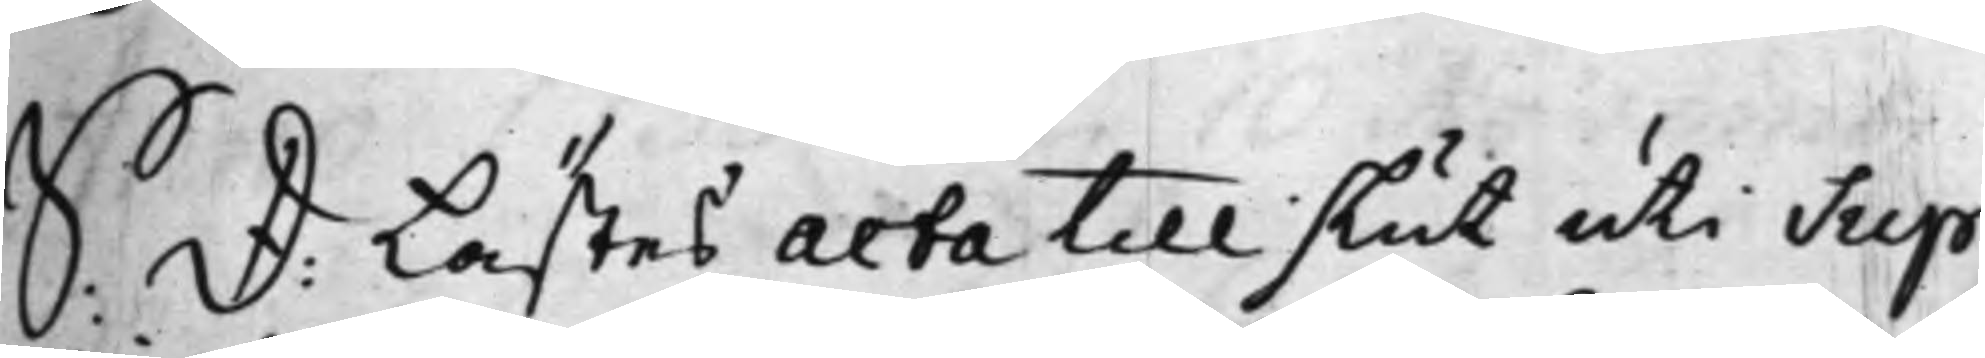S: D: Lästes Acta till slut uti Sup¬
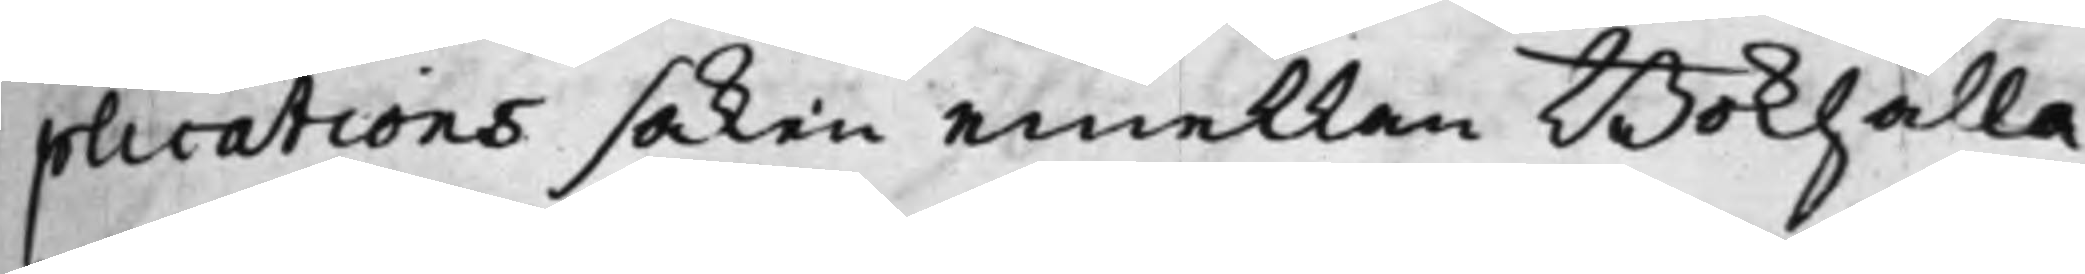plications saken emellan Bokhalla¬
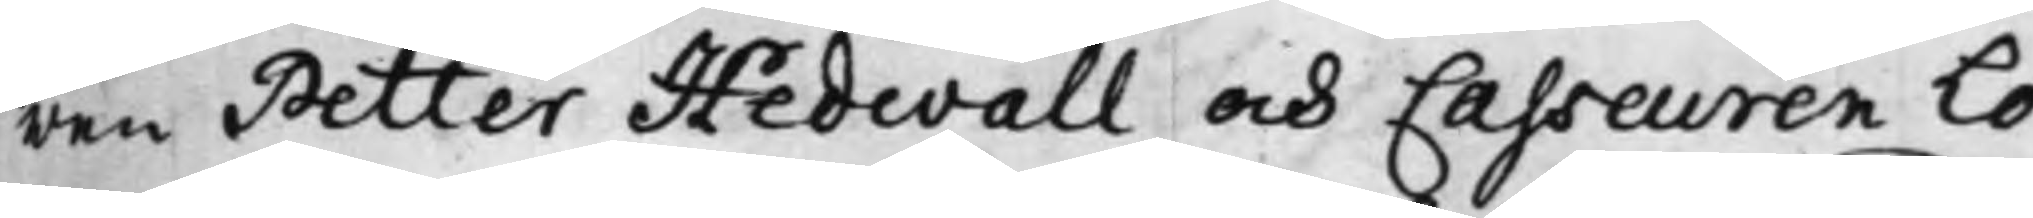ren Petter Hedwall och Casseuren Lo¬
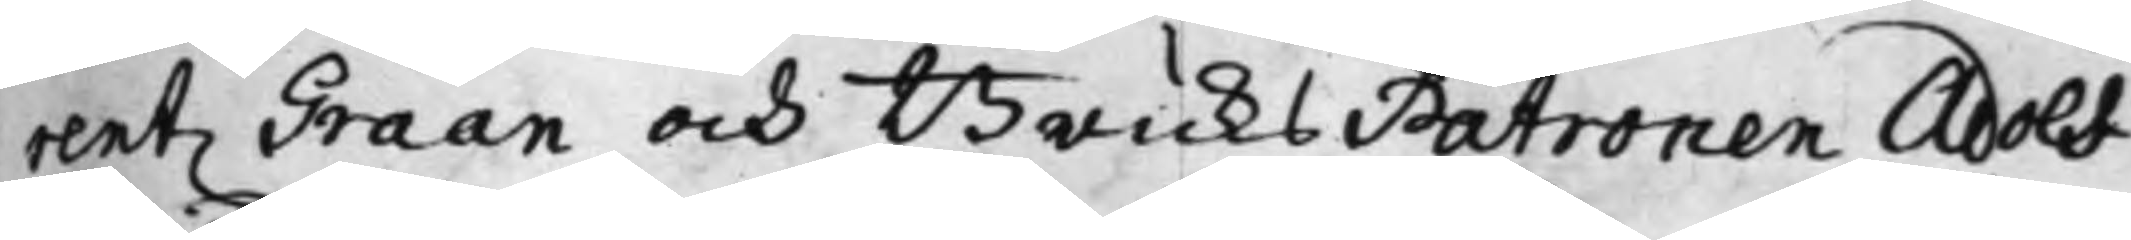rentz Graan och BruksPatronen Adolf
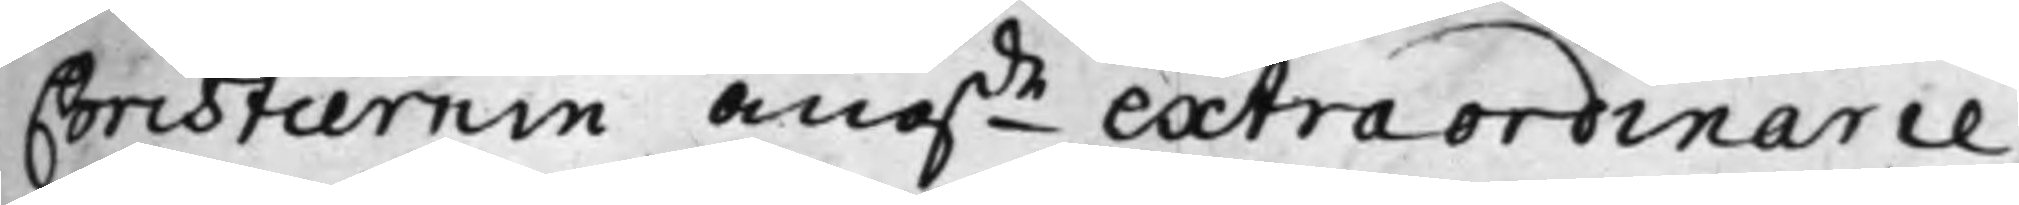Christiernin angde extraordinarie
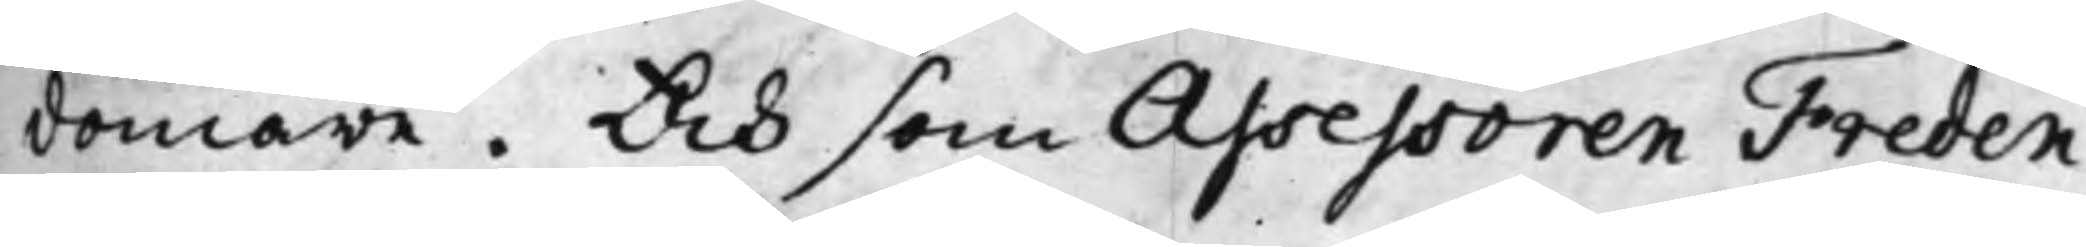domare. Och som Assessoren Freden
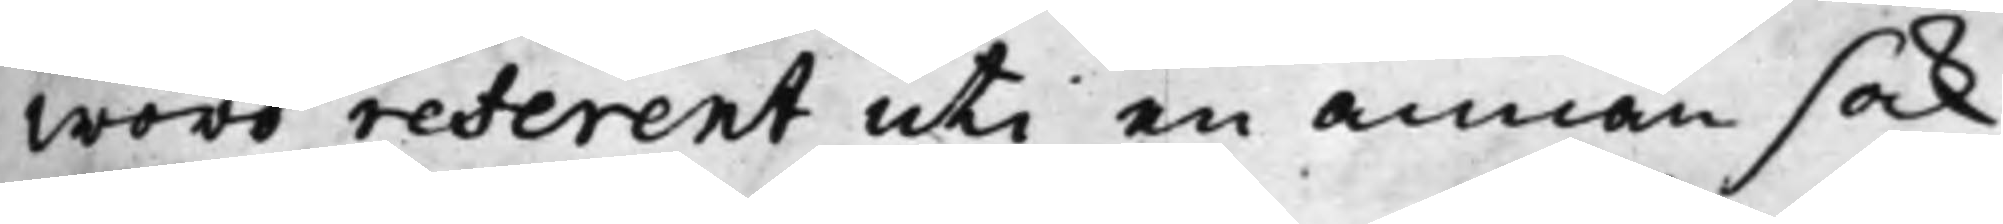woro referent uti en annan sak
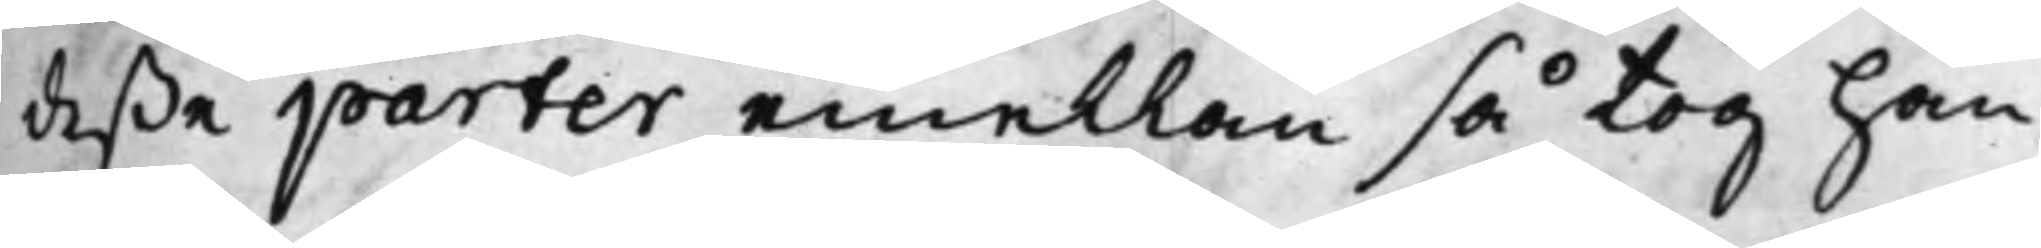deße parter emellan så tog han
